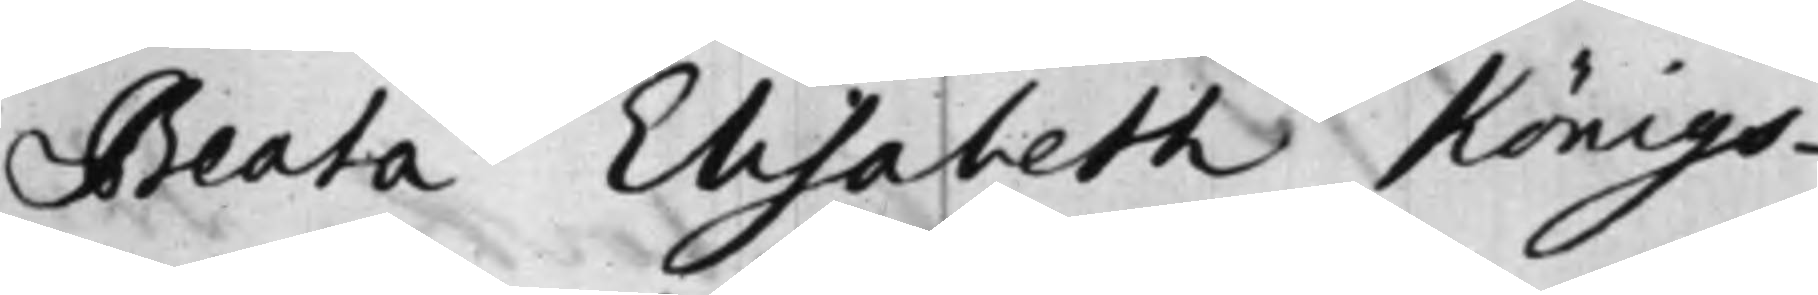Beata Elisabeth Königs¬
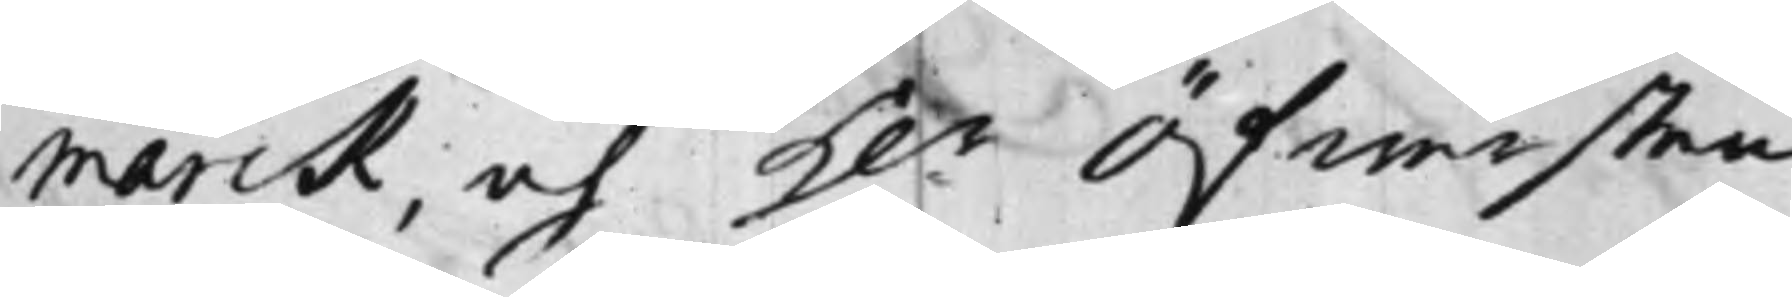marck, och H.r Öfwersten
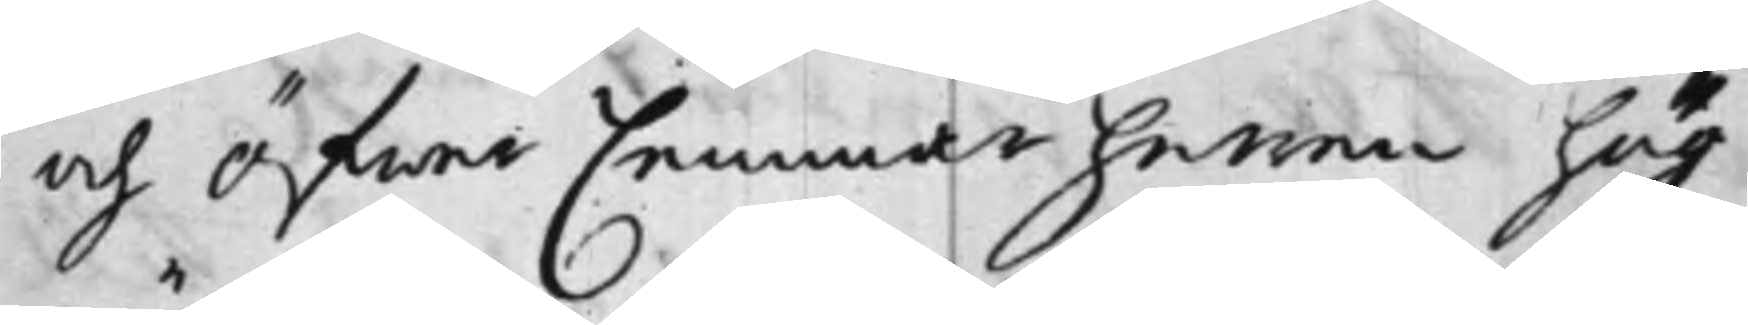och Öfwer Cammarherren hög¬
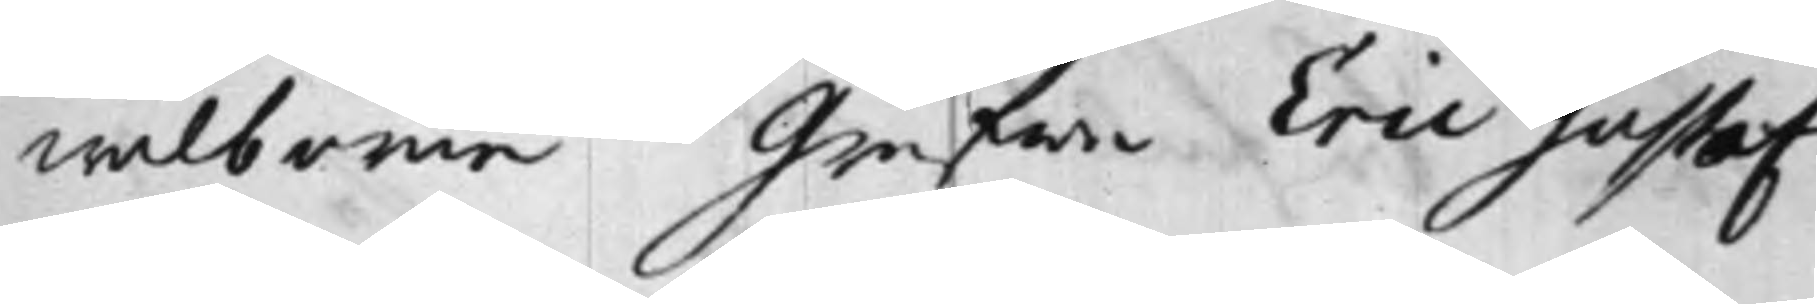wälborne Grefwe Eric Gustaf
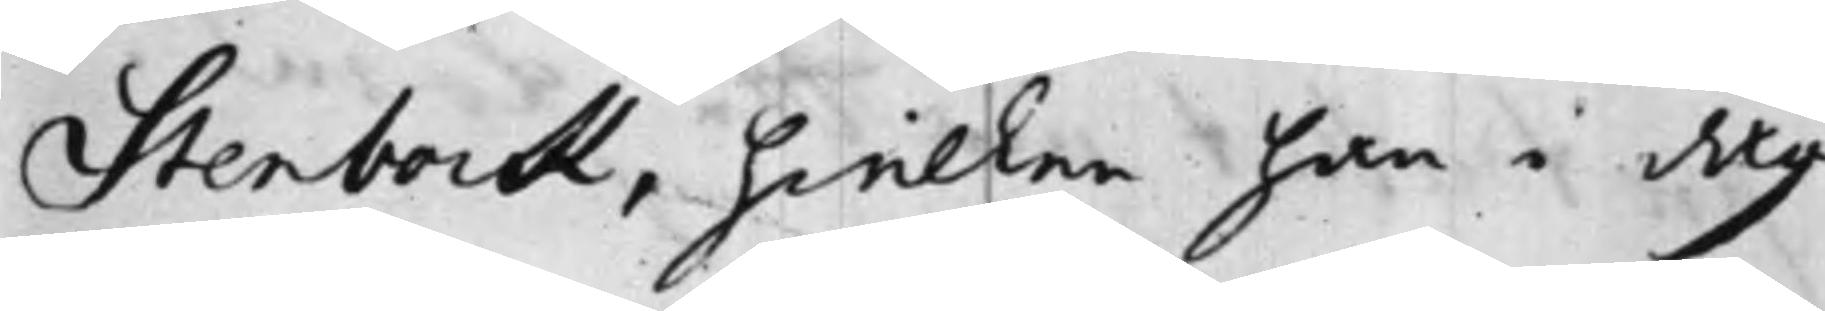Stenbock, hwilken han i dag
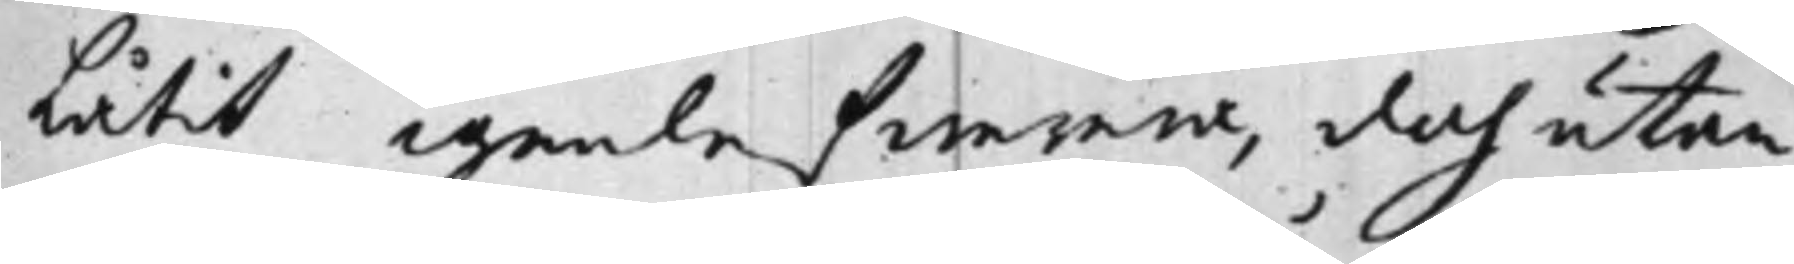Låtit igenlefwerera, doch utan
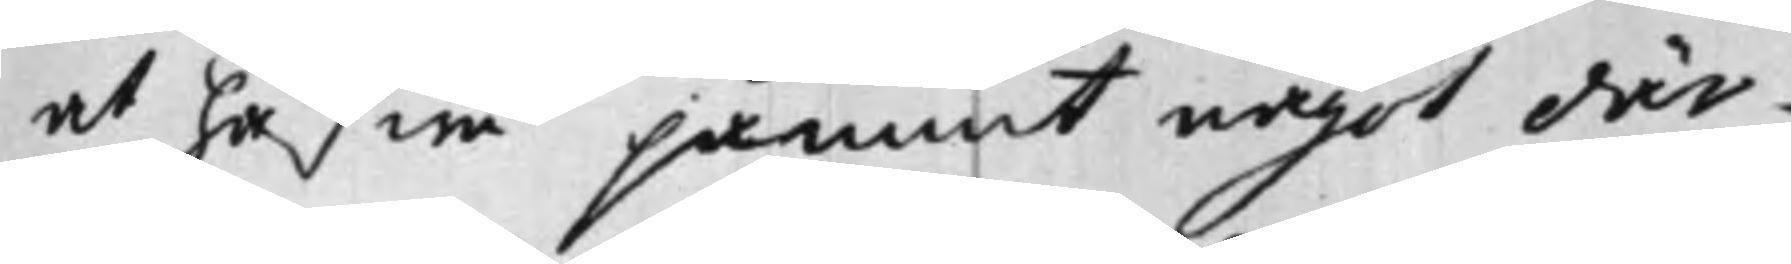at hafwa påmint något där¬
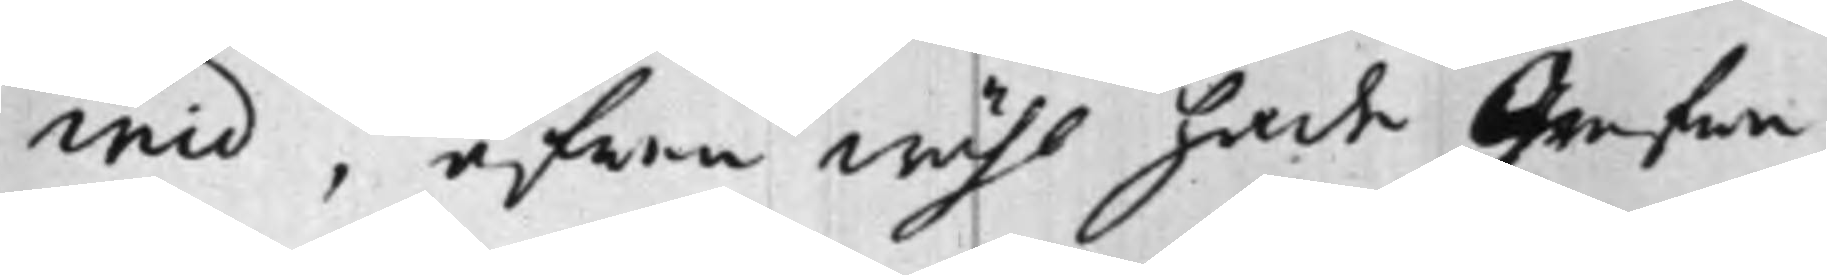wid, äfwen wähl hade Grefwe
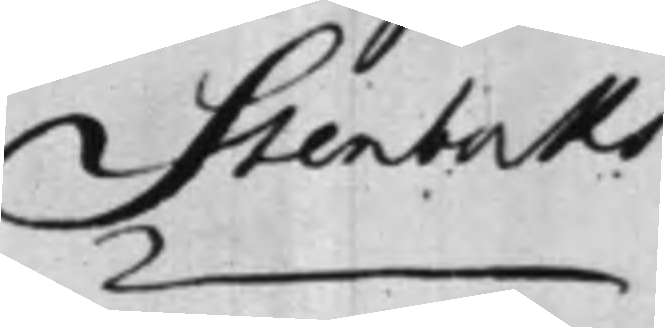Stenbocks
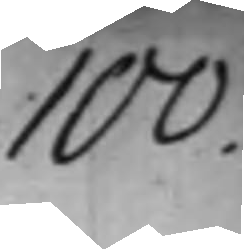100.
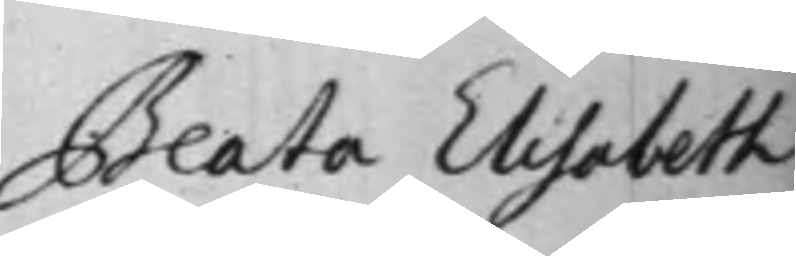Beata Elisabeth
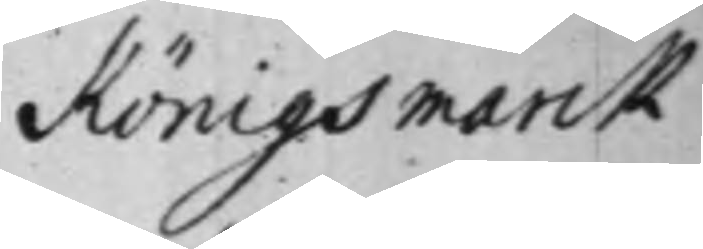Königsmarck
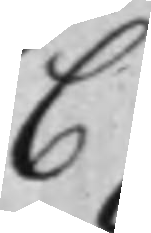C
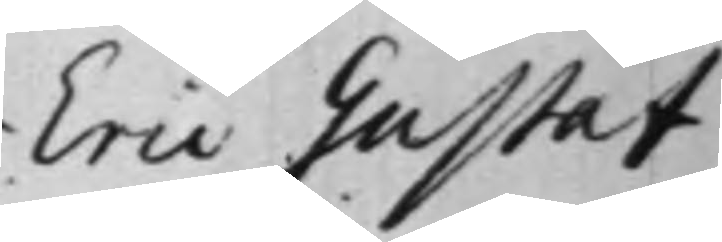Eric Gustaf
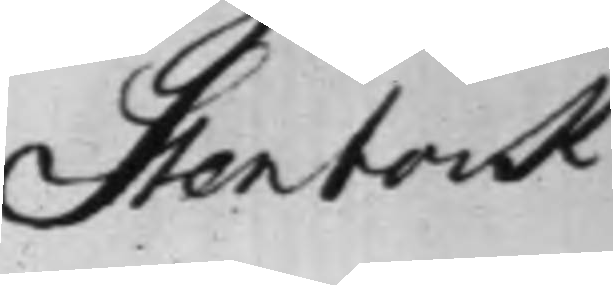Stenbock
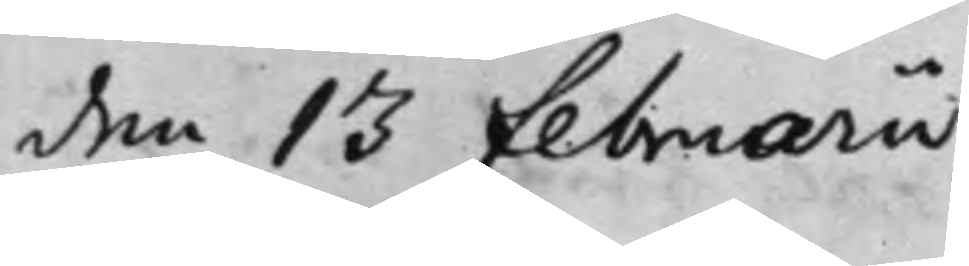den 13 Februarii
